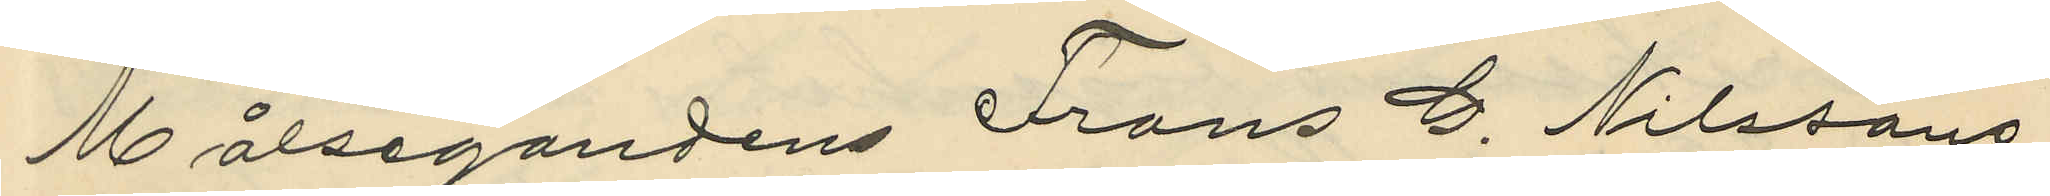Målsegandens Frans G. Nilssons
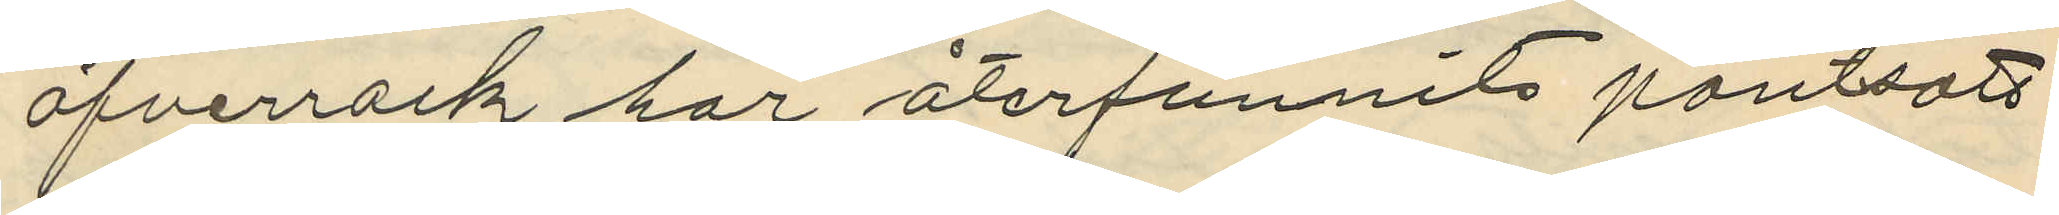öfverrock, har återfunnits pantsatt
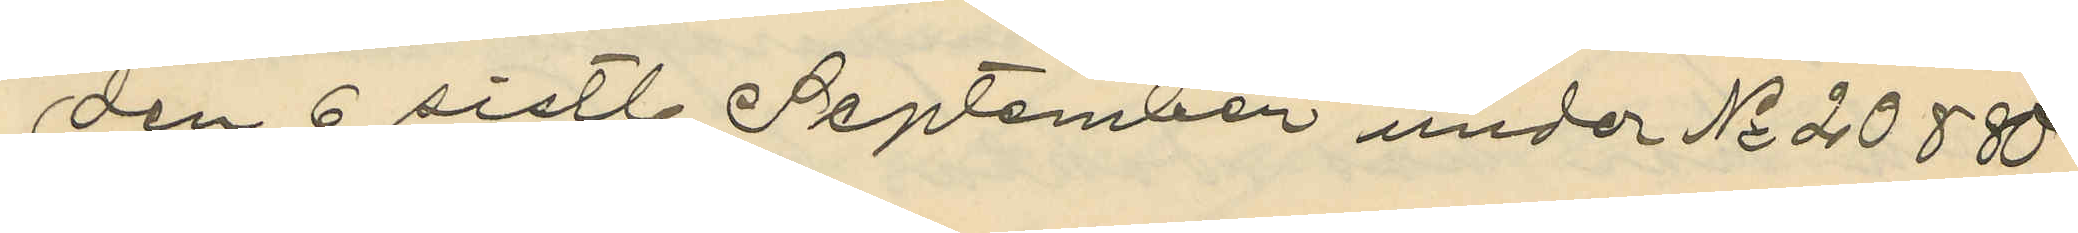den 6 sistl September under No 20880
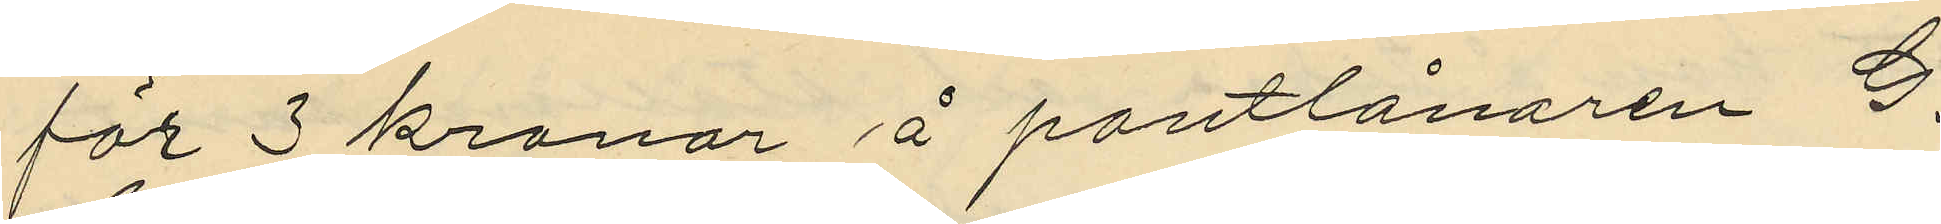för 3 kronor å pantlånaren G.
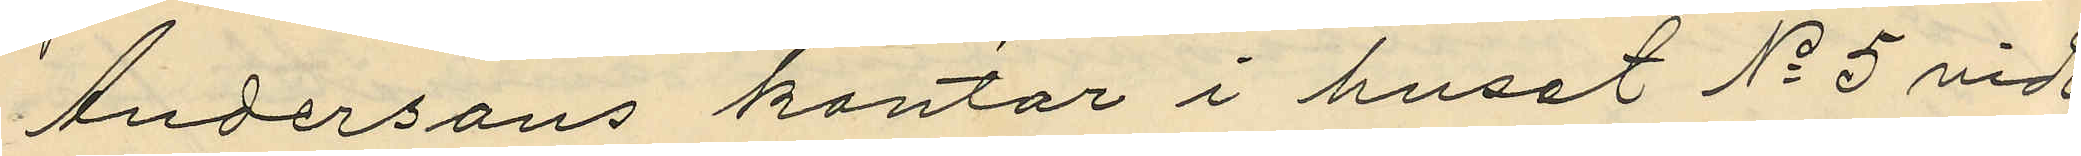Andersons kontor i huset No 5 vid
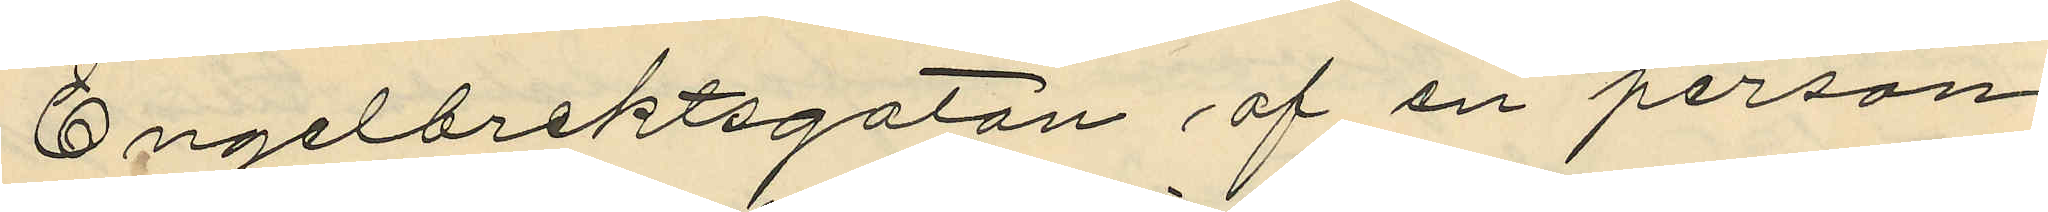Engelbrektsgatan af en person,
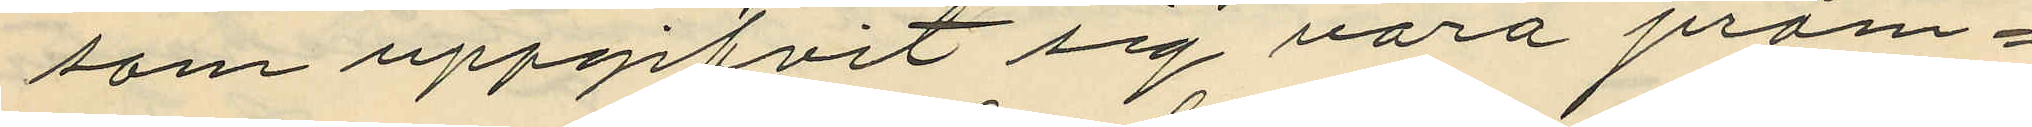som uppgifvit sig vara pråm¬
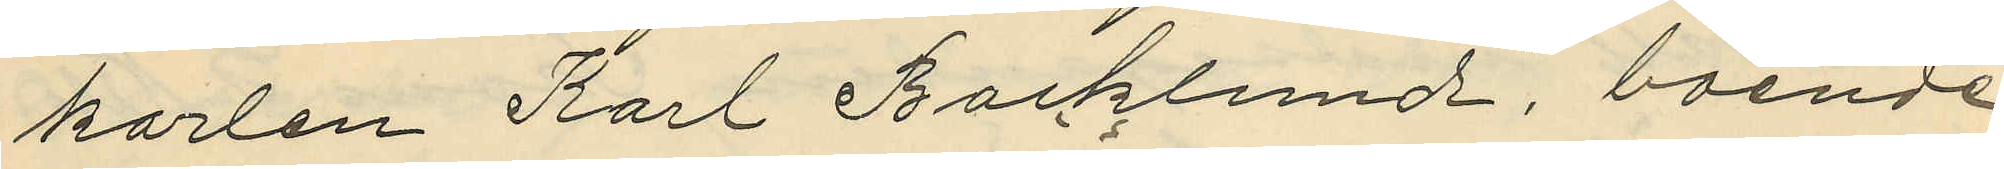karlen Karl Backlund, boende
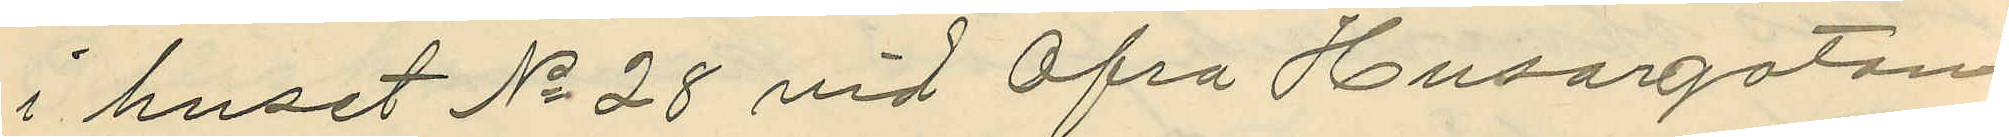i huset No 28 vid Öfra Husargatan.
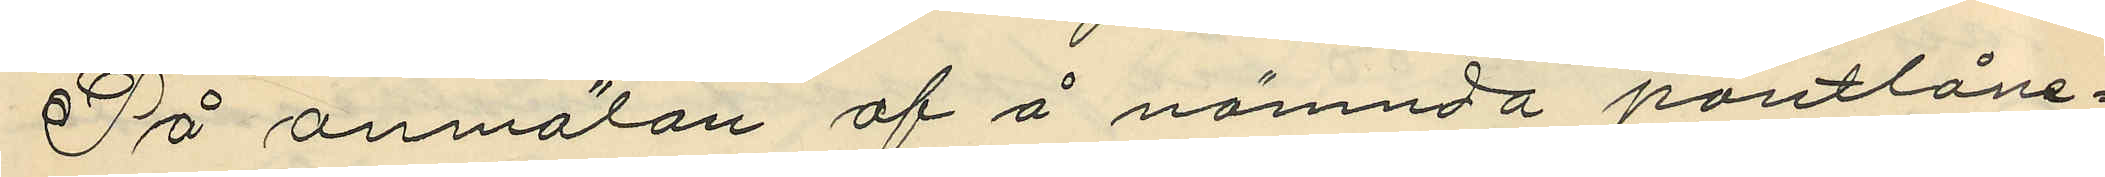På anmälan af å nämnda pantlåne¬
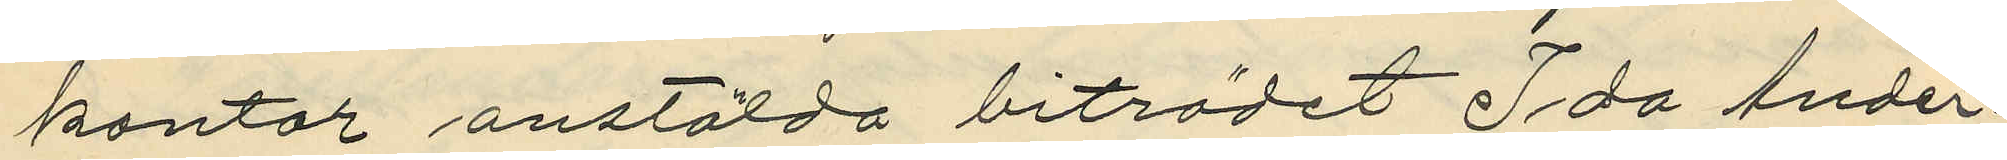kontor anstälda biträdet Ida Ander¬
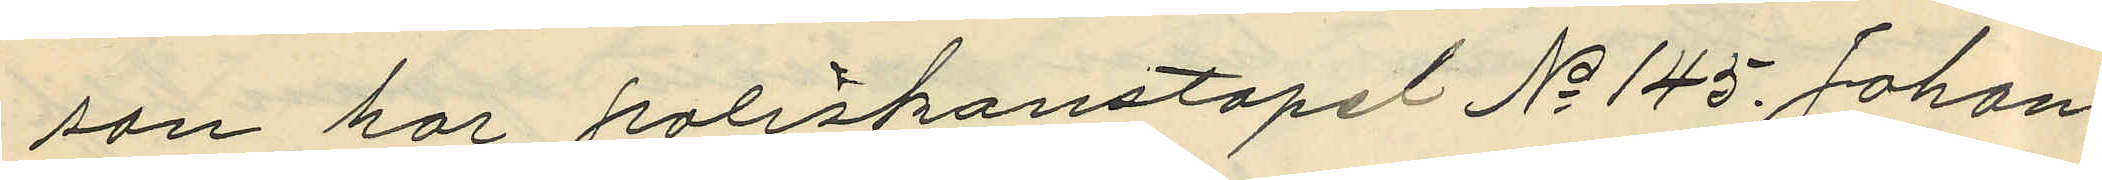son har poliskonstapel No 145 Johan¬
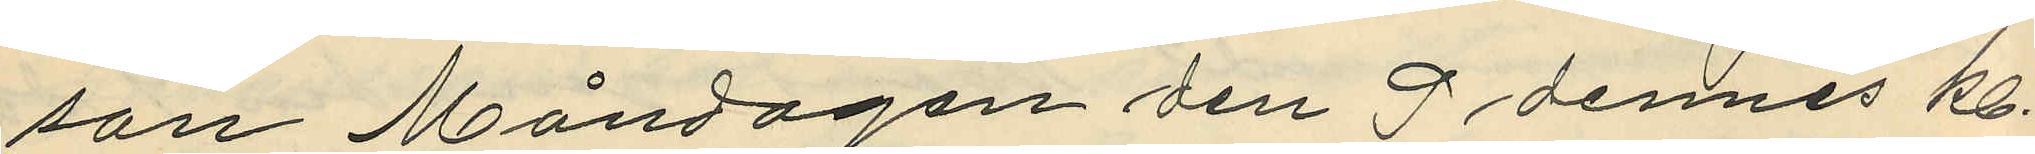son Måndagen den 9 dennes kl.
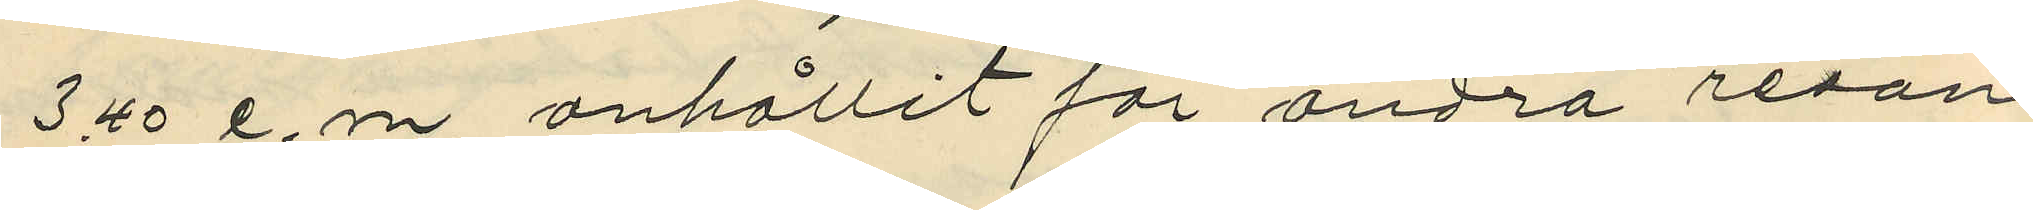3.40 e. m. anhållit för andra resan
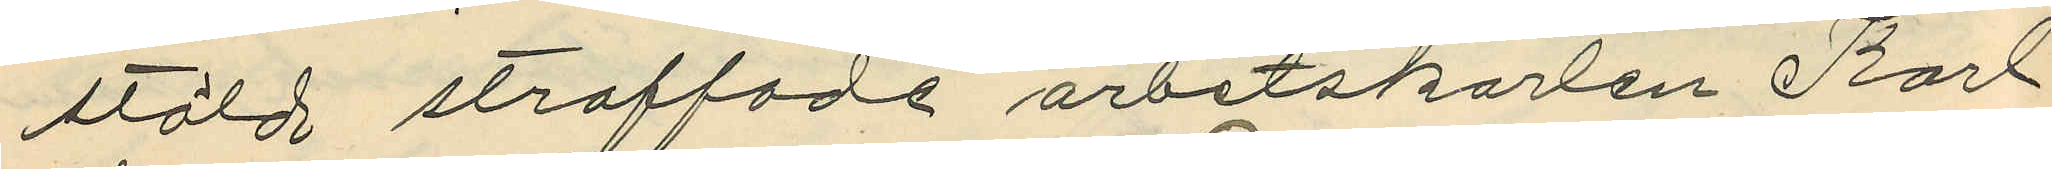stöld straffade arbetskarlen Karl
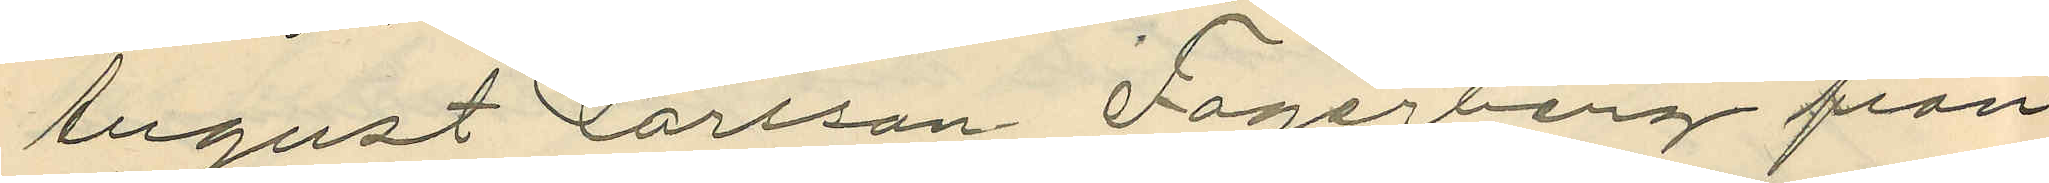August Larsson Fagerberg från
